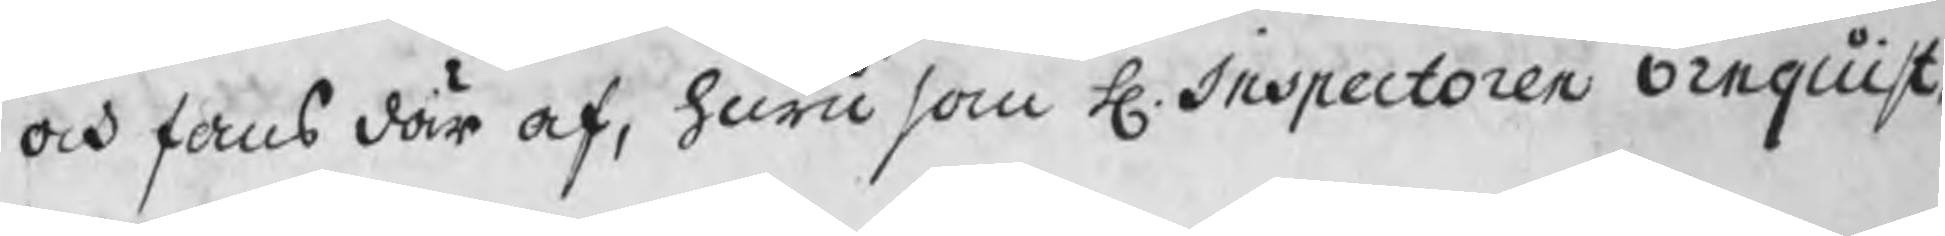och fans där af, huru som H. Inspectoren Örnquist,
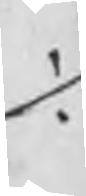./.
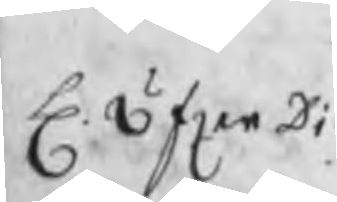H. öfverDi
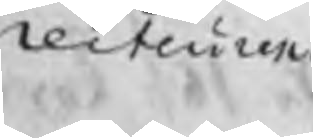recteuren
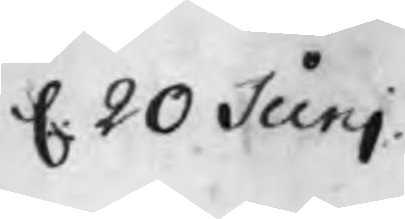d. 20 Junj
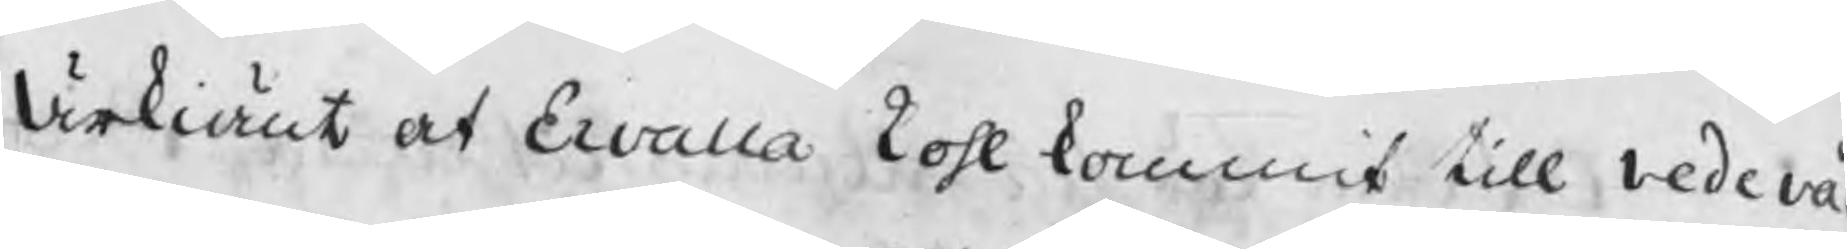Ärkiänt at Ervalla kohl kommit till vedevåg
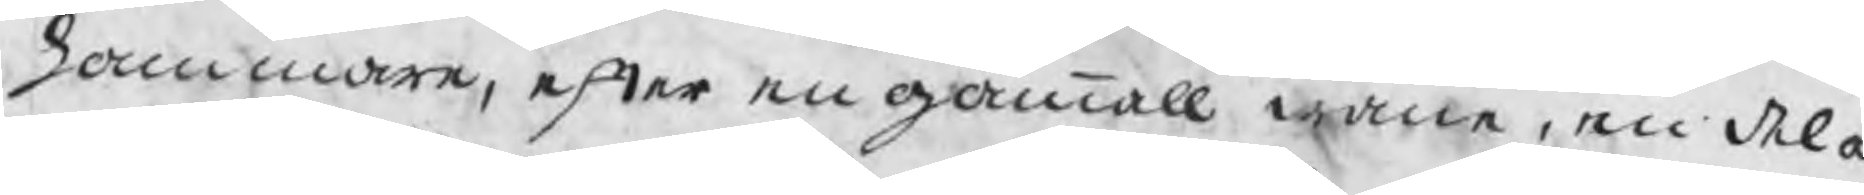hammare, efter en gammall wana, en del a
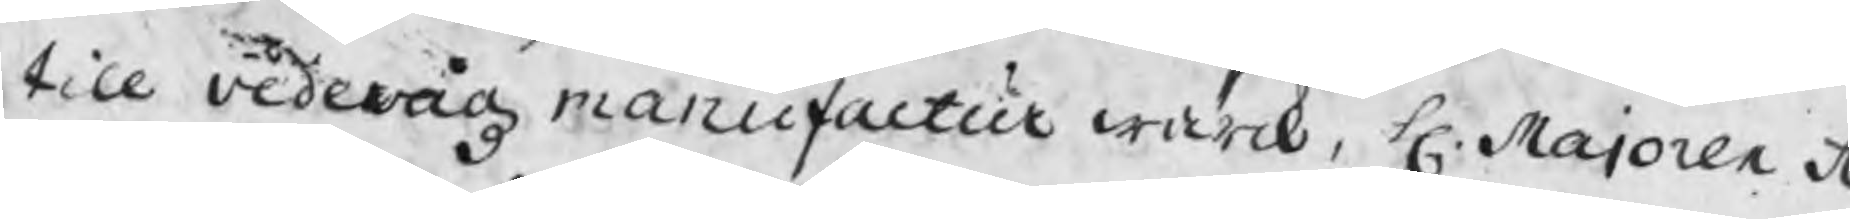till vedevågz manufactur wärk, H. Majoren Å
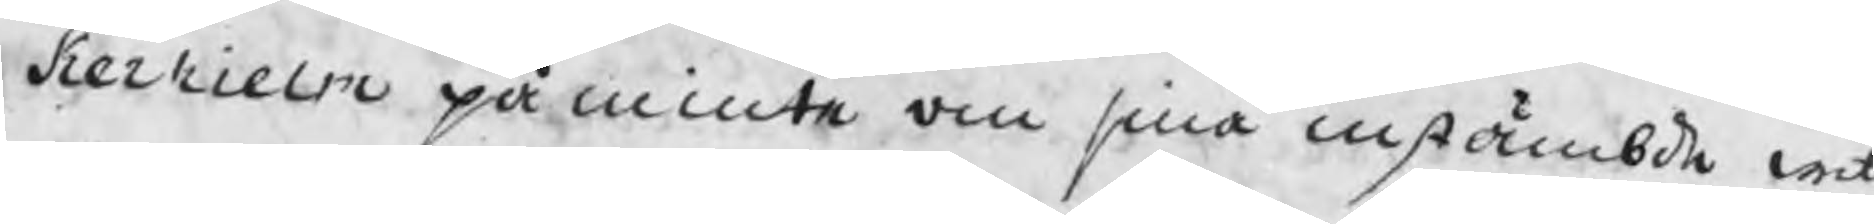kerhielm påminte om sina instämbde witt
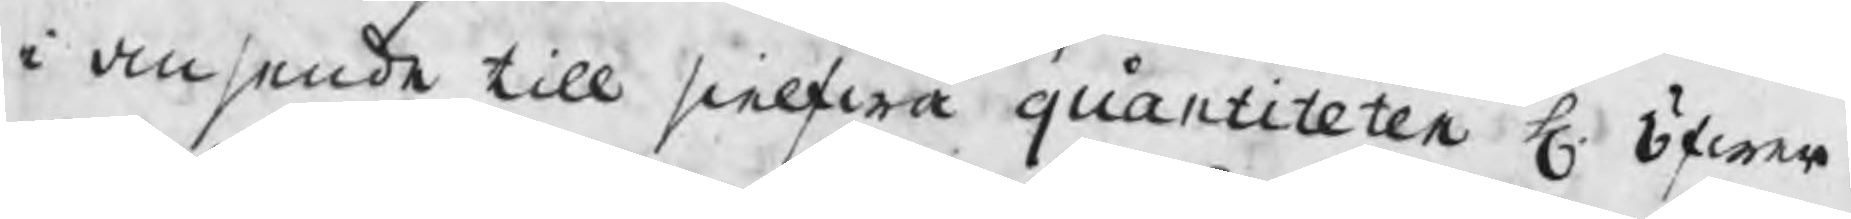i ansende till sielfwa quantiteten H. öfwer
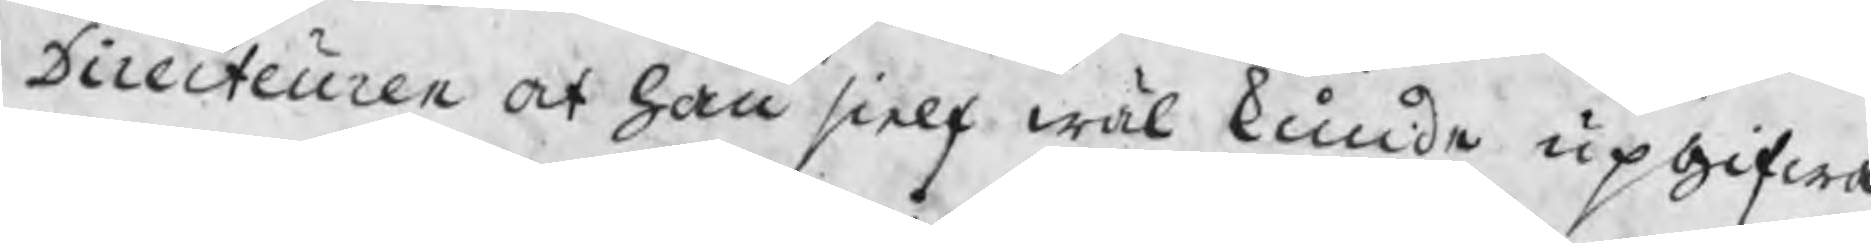Directeuren at han sielf wäl kunde upgifwa
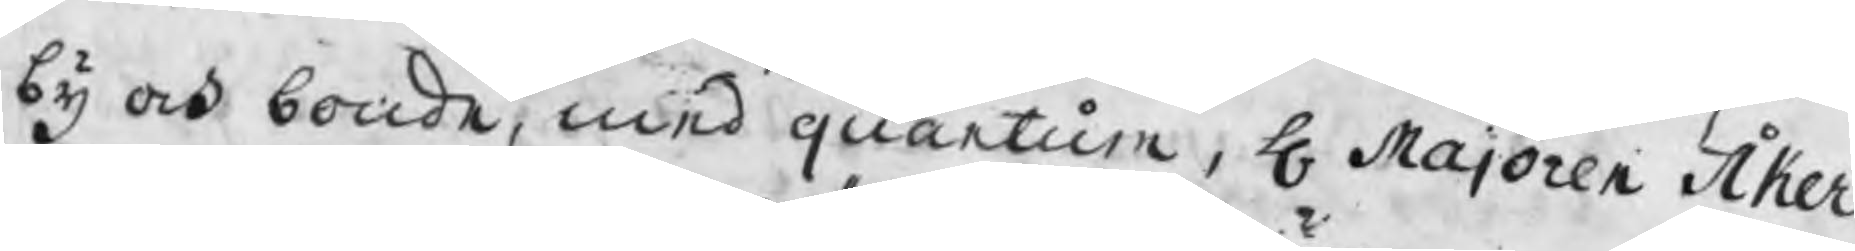by och bonde, med quantum, H Majoren Åker
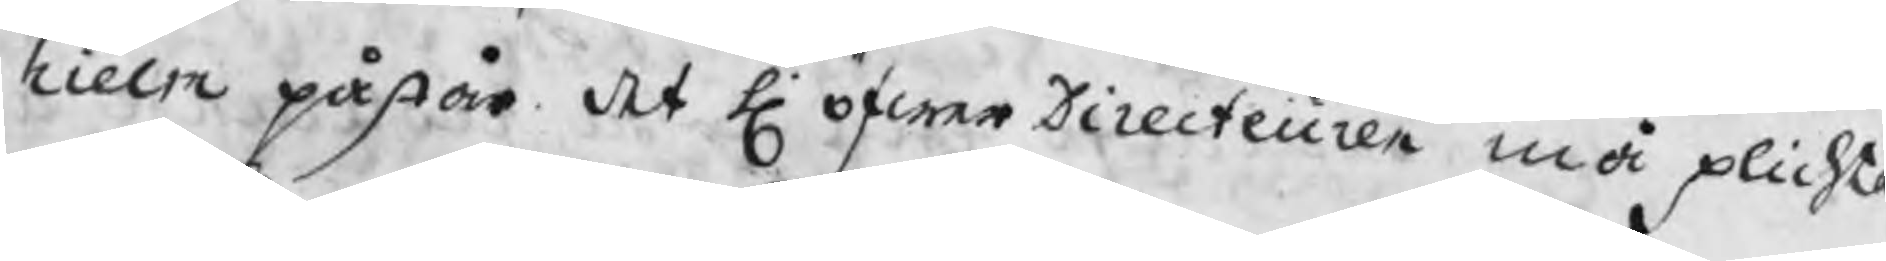hielm påstår det H öfwerDirecteuren må plichta
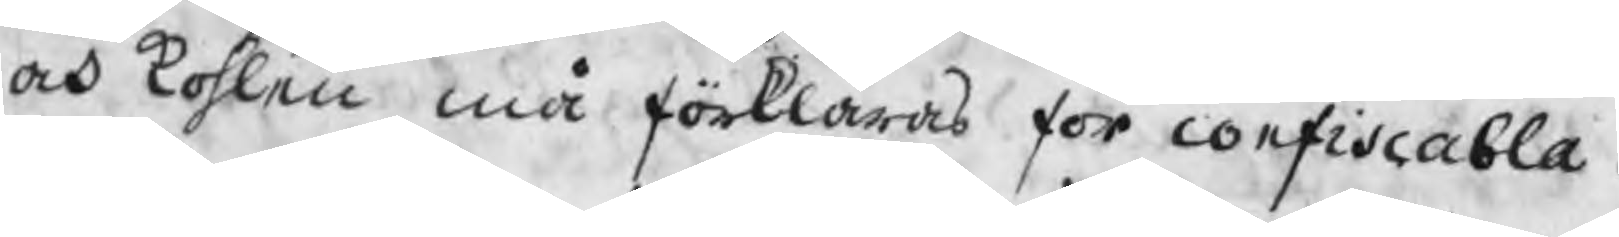och kohlen må förklaras för confiscabla.
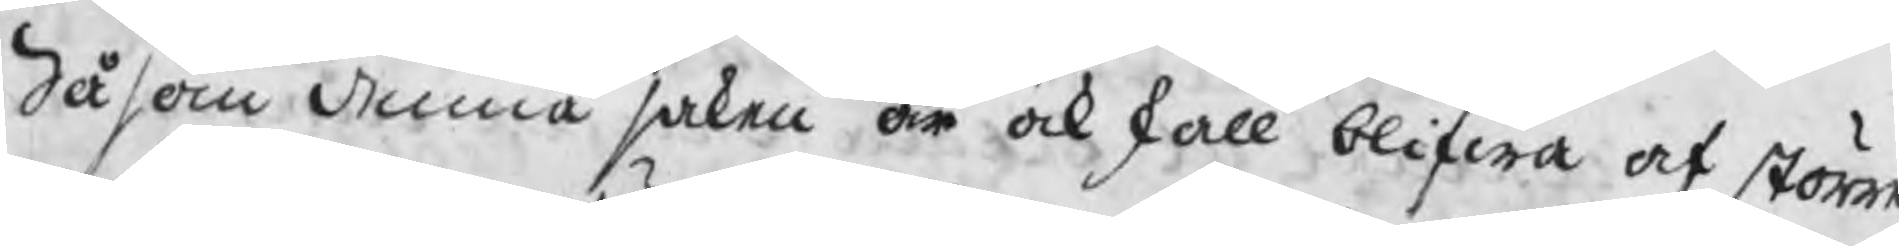Såsom denna saken är ock skall blifwa af störan
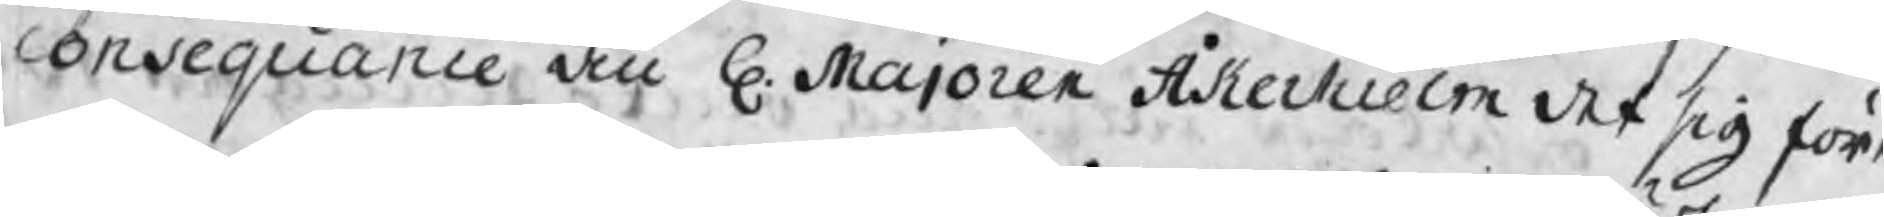consequance än H. Majoren Åkerhielm det sig före
